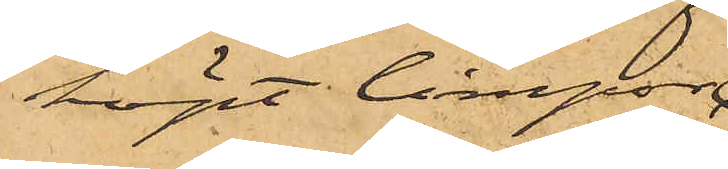köpt limpor;
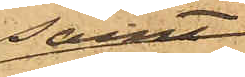samt
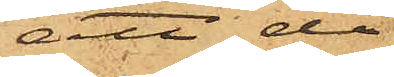att då
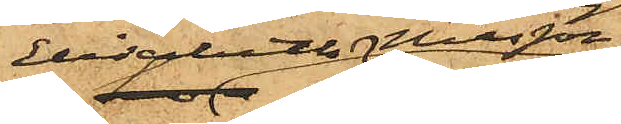Elisabeth Nilsson
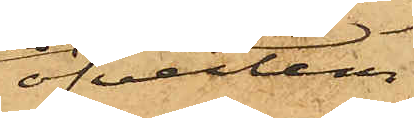öfverlem¬
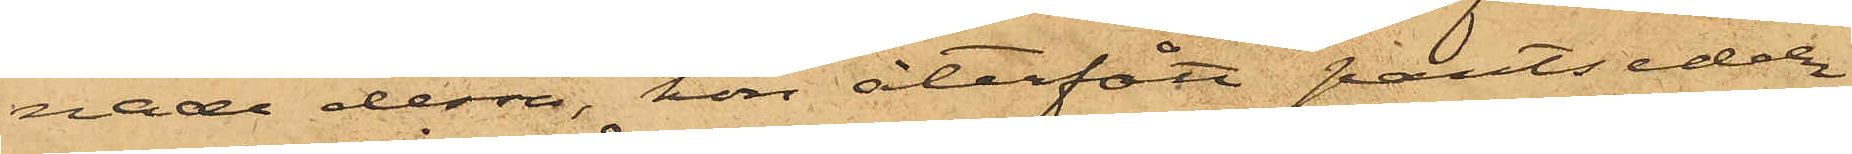nade dessa, hon återfått pantsedeln
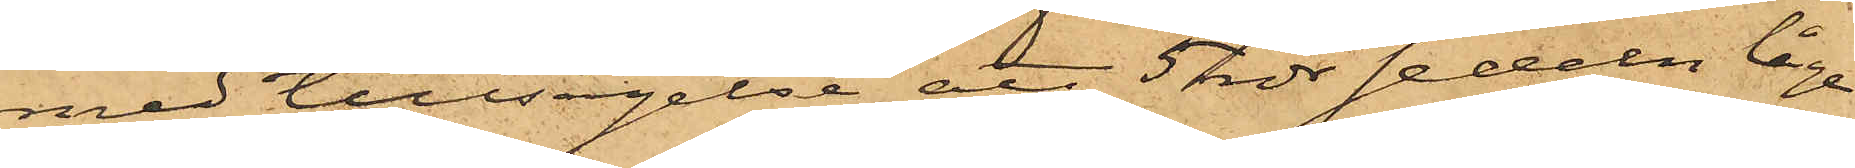med tillsägelse att 5 rdr sedeln låge
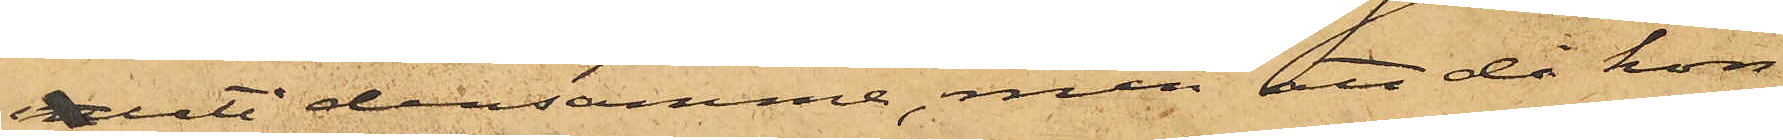inuti densamma, men att då hon
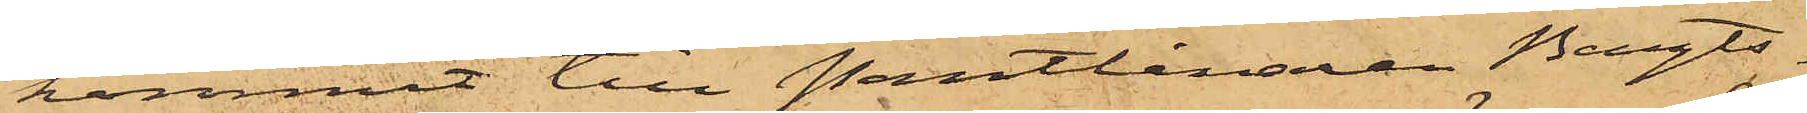kommit till Pantlånaren Bengts¬
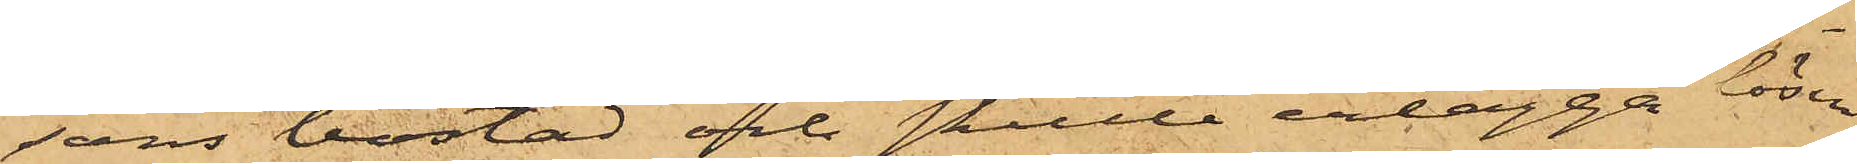sons bostad och skulle erlägga lösen
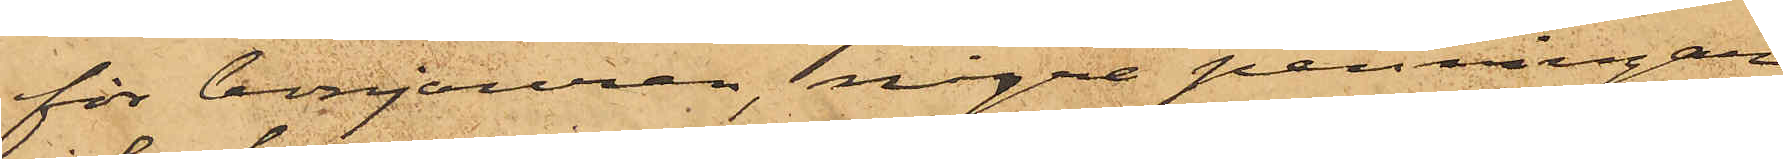för bonjouren, några penningar
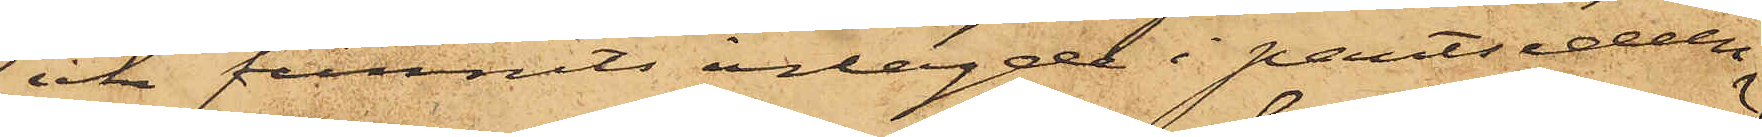icke funnits inlagde i pantsedeln.
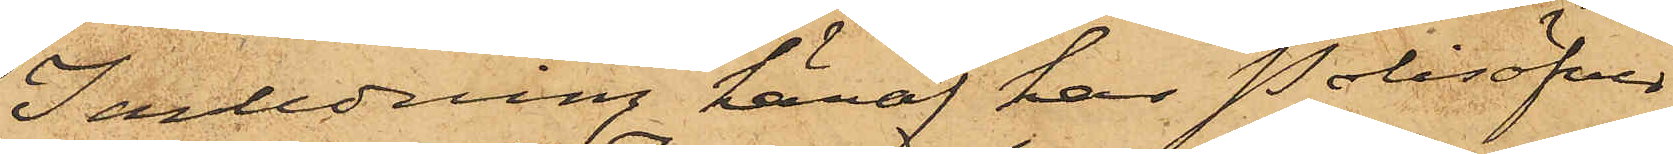I anledning häraf har Polisöfver¬
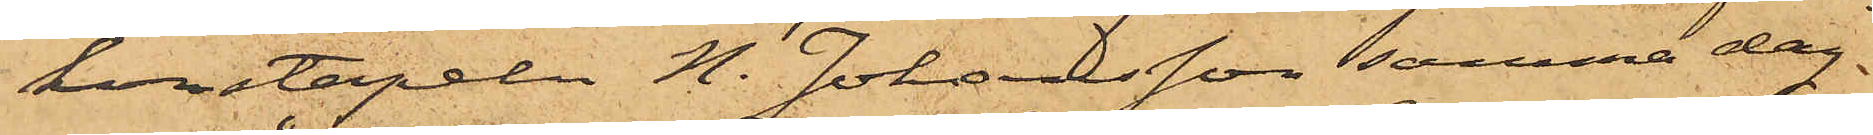konstapeln N. Johansson samma dag
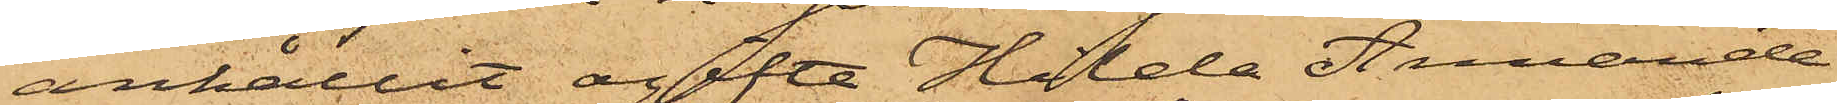anhållit ogifta Hilda Amanda
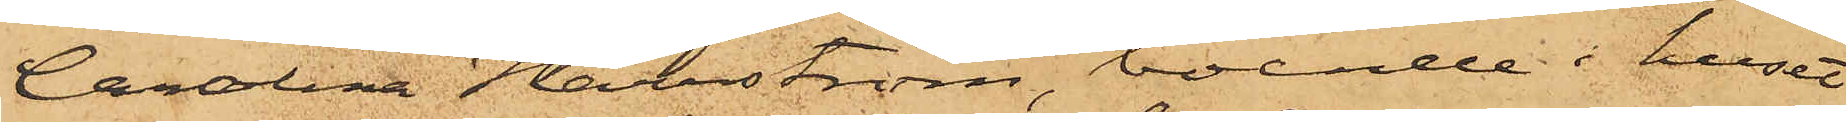Carolina Harrström, boende i huset
